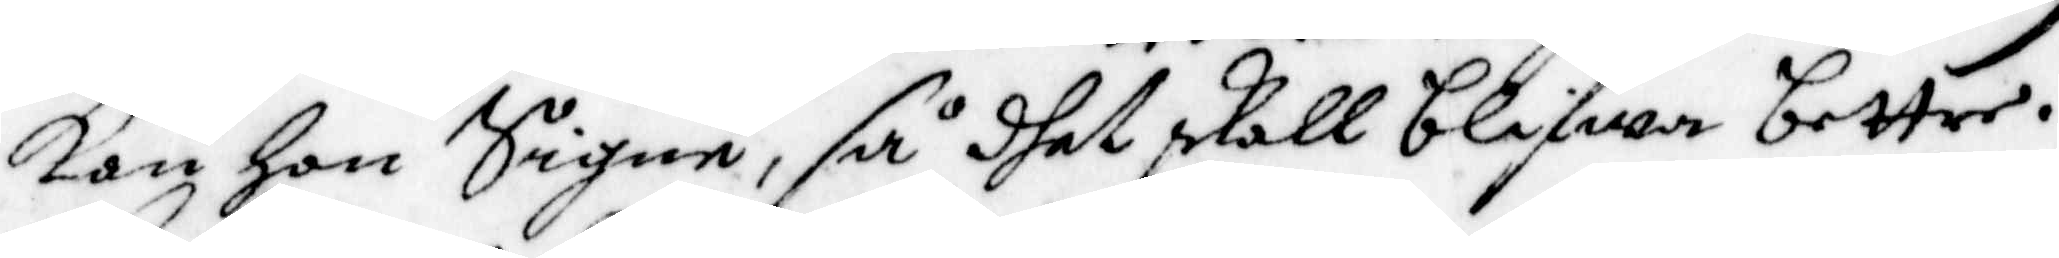Kan hon Signe, så dhet skall blifwa bettre.
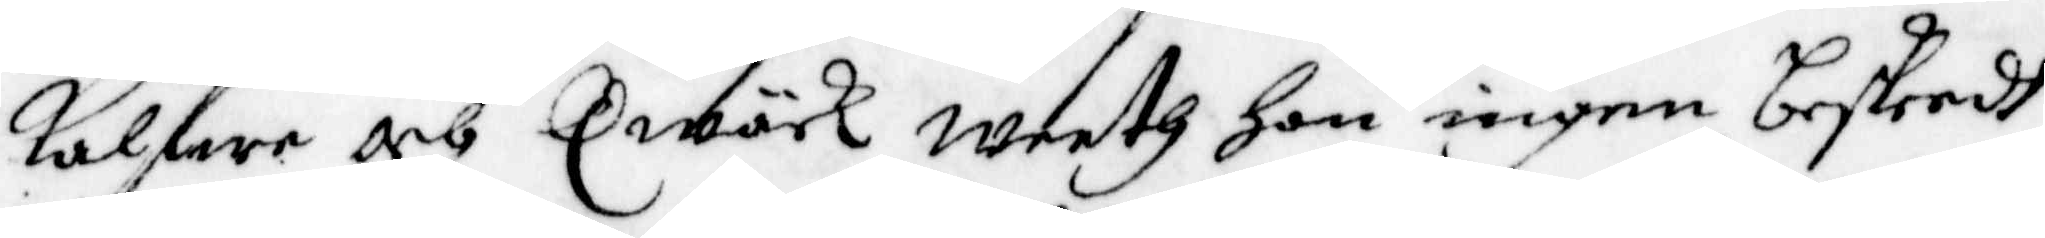kalfwe och Qwäck weeth hon ingen beskeedh
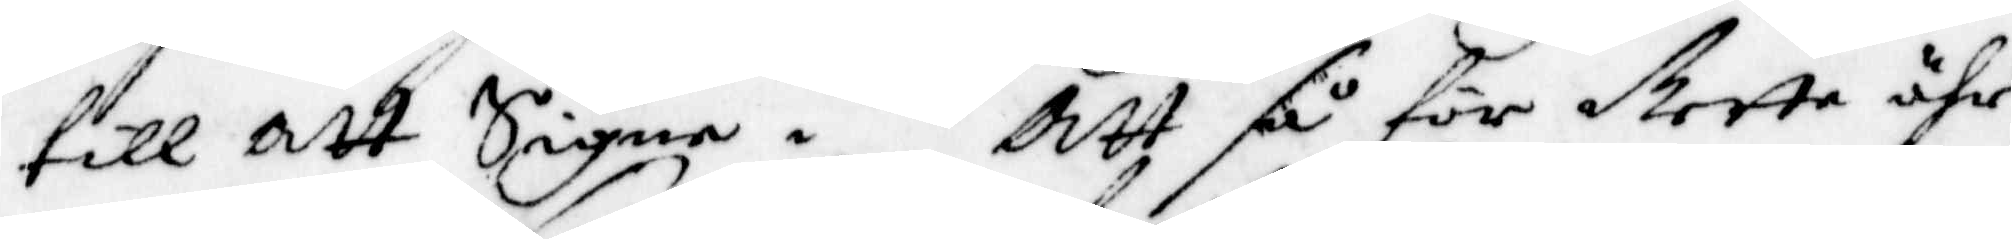till att Signe. Att så för dtette ähr
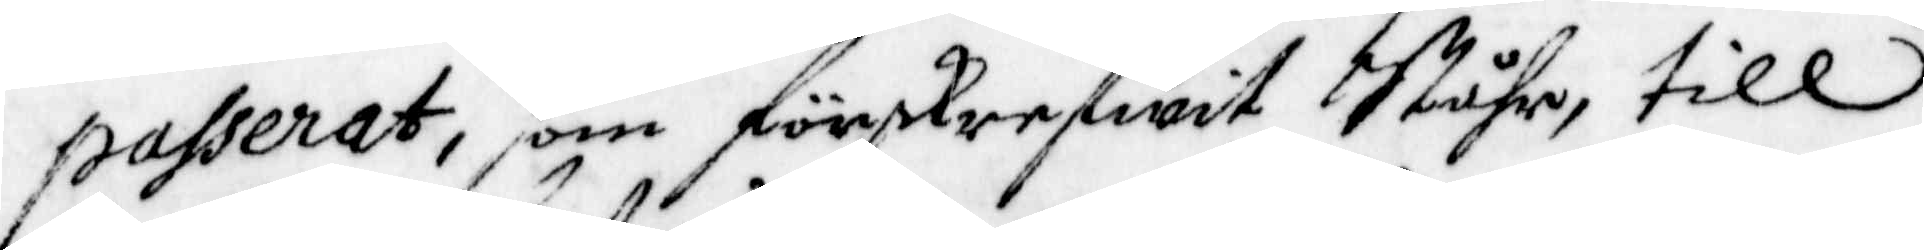passerat, som förskrefwit Ståhr, till
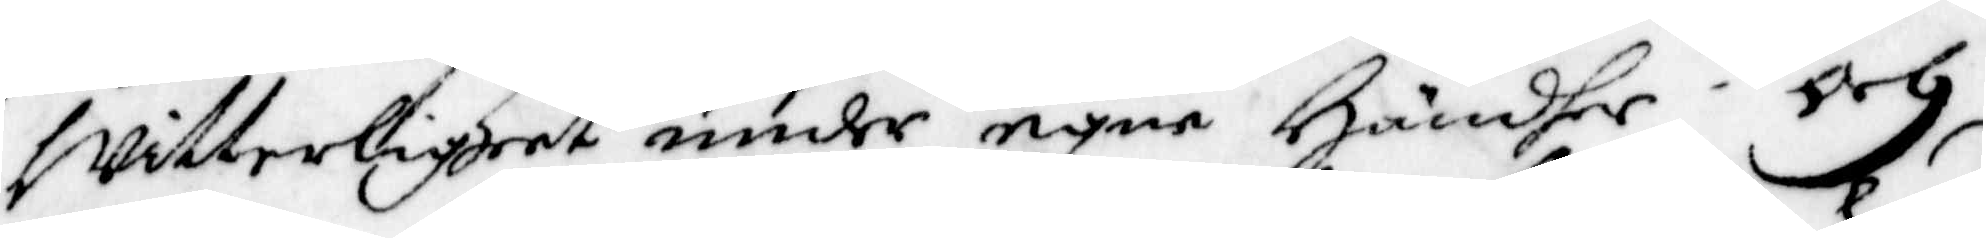Witterlighet under egne Händher; Och
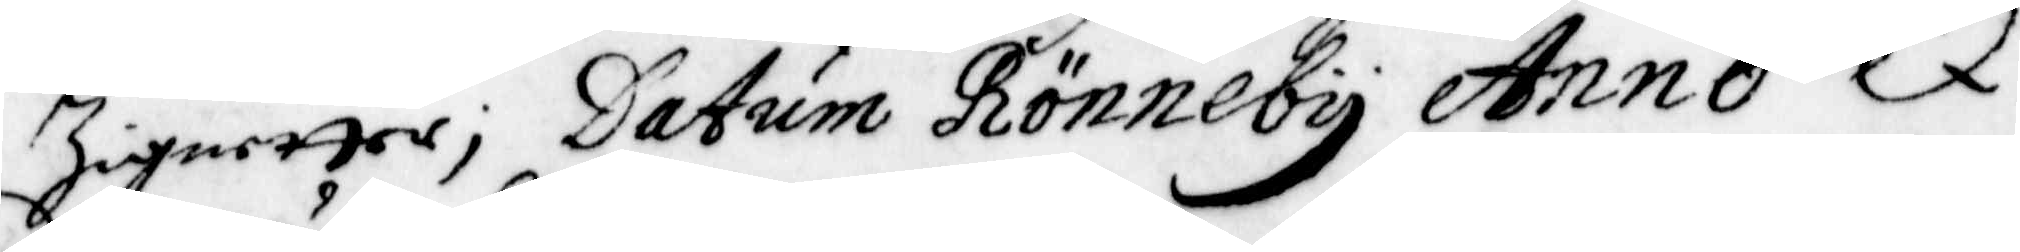Zignetter, Datum Rönneby Anno D.
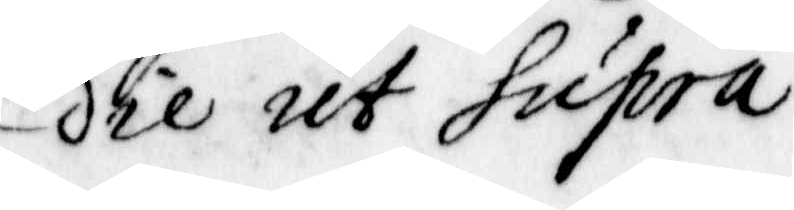die ut supra.
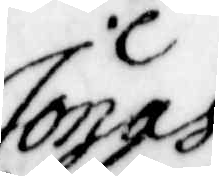Jonas
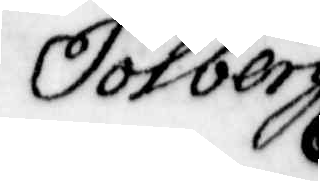Jolberg
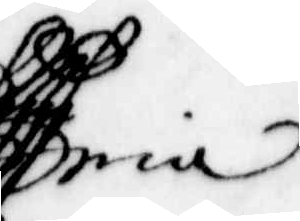ria
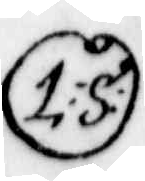L:S:
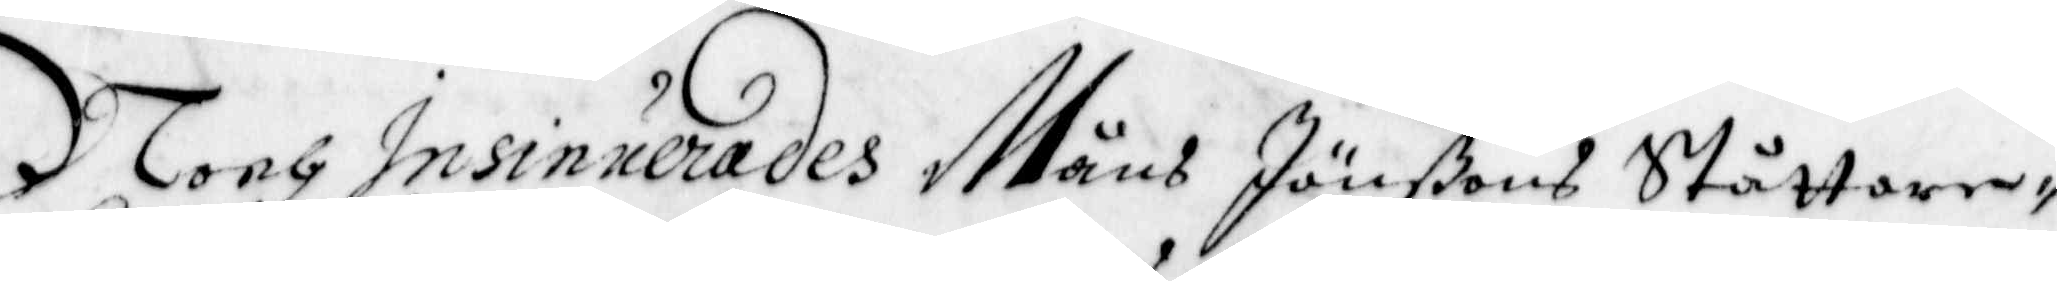Noch Insinuerades Måns Jönßons Ståttare¬
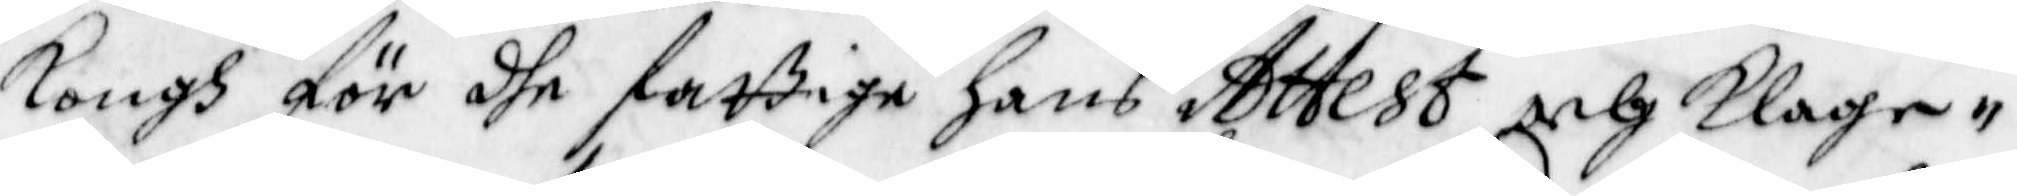kongh för dhe fattige hans Attest och klage¬
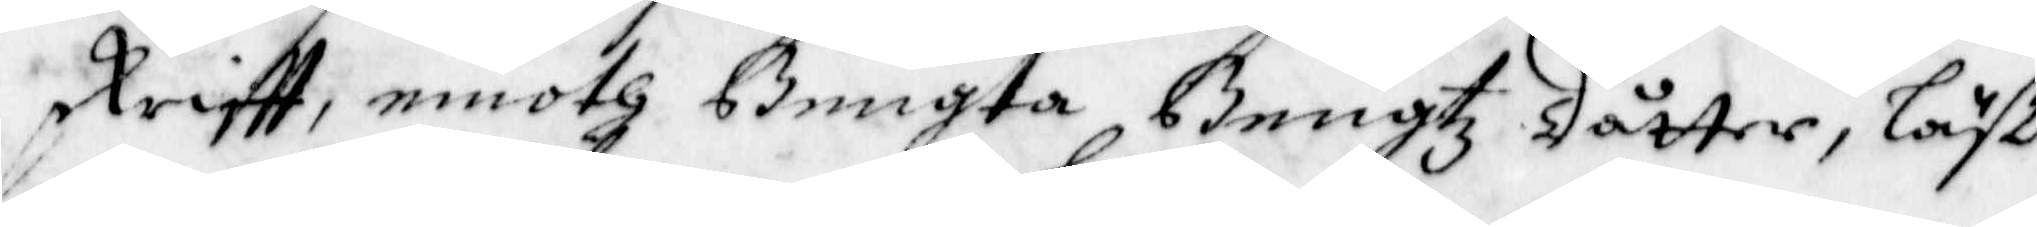skrifft, emoth Bengta Bengtz dåtter, Läst
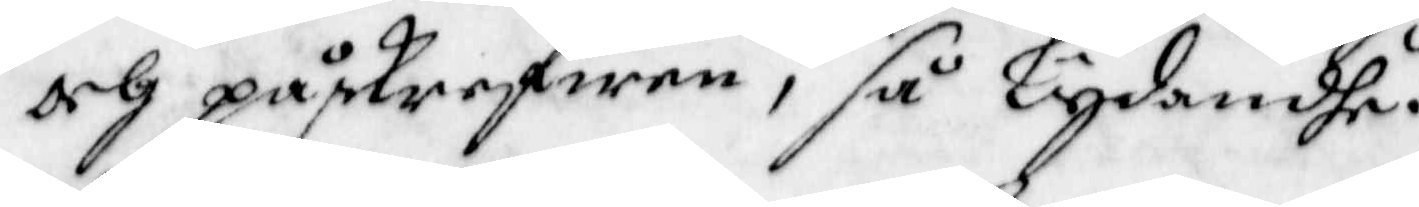och påskrefwen, så Lydandhe.
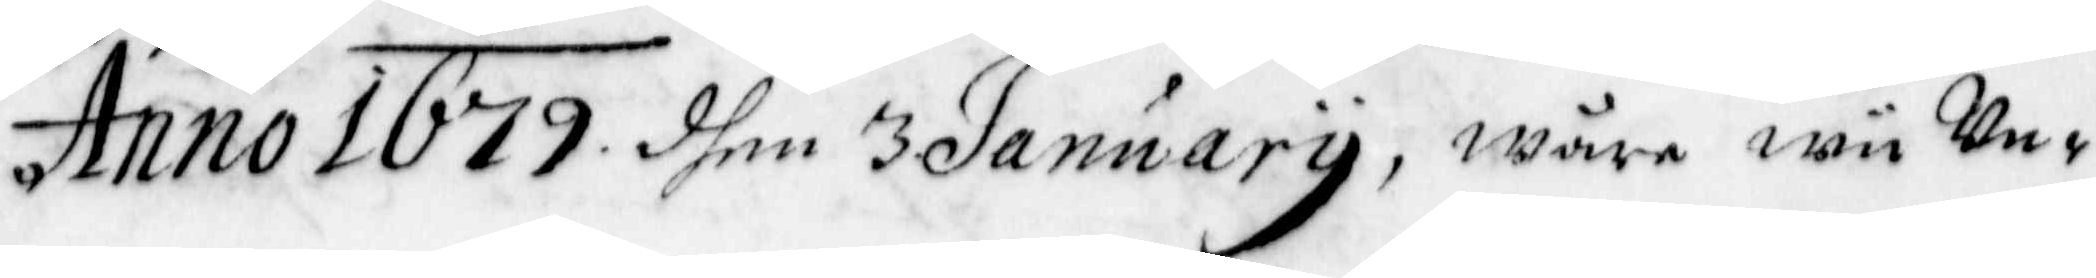Anno 1679 dhen 3 January, wåre wii Un¬
